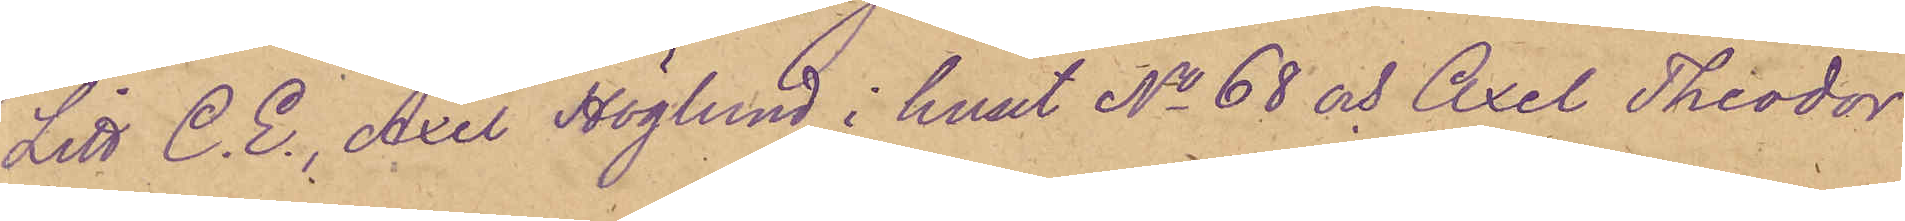Litt C.E., Axel Höglund i huset No 68 och Axel Theodor
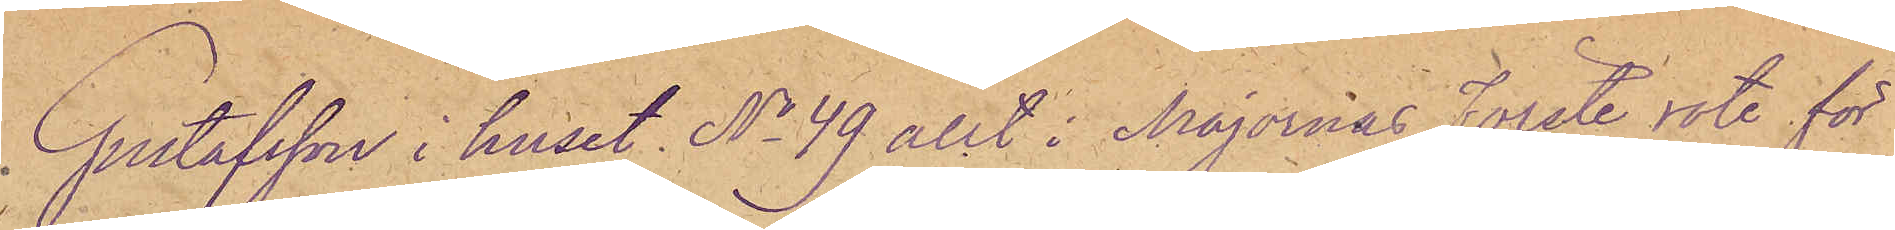Gustafsson i huset No 49 allt i Majornas Förste rote för
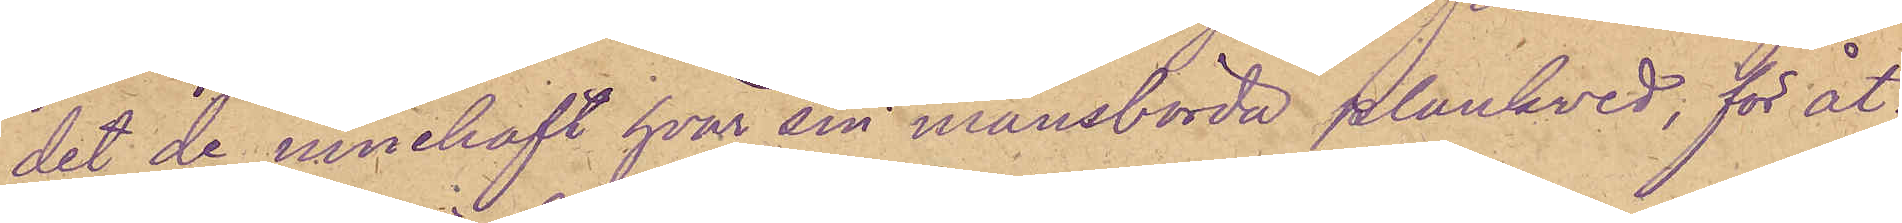det de innehaft hvar sin mansbörda plankved, för åt¬
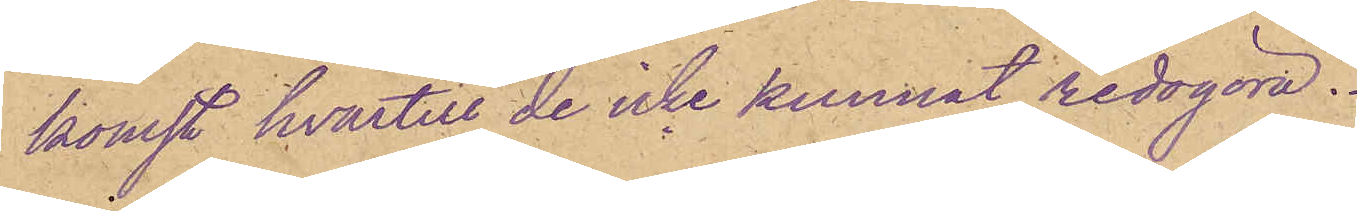komst hvartill de icke kunnat redogöra.
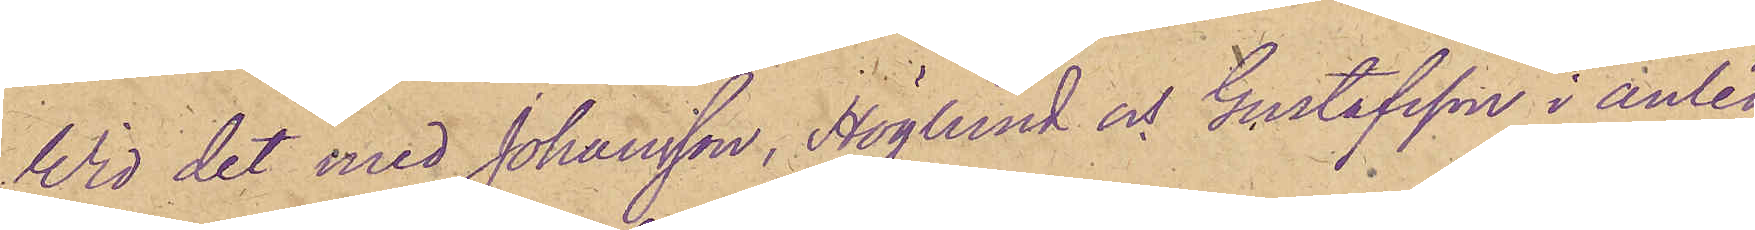Wid det med Johansson, Höglund och Gustafsson i anled¬
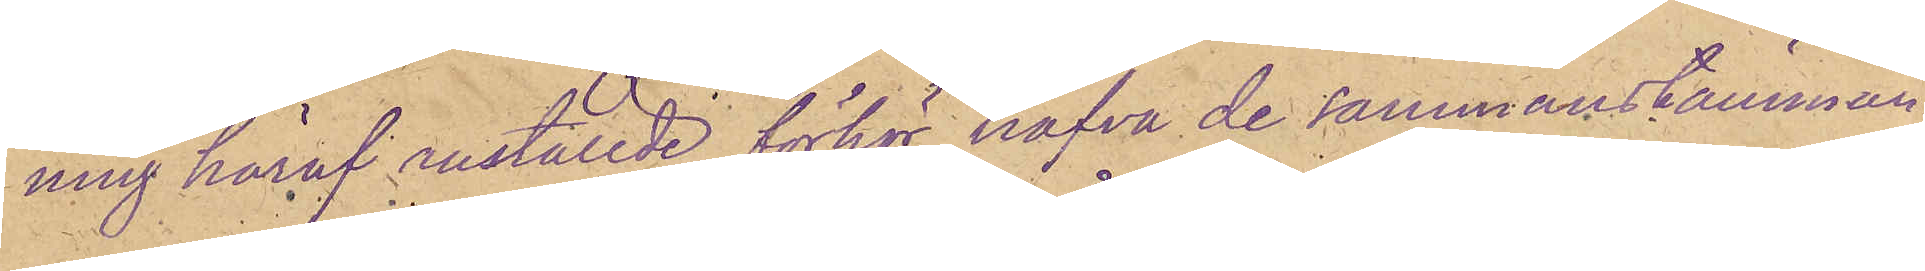ning häraf anställde förhör hafva de sammanstämman¬
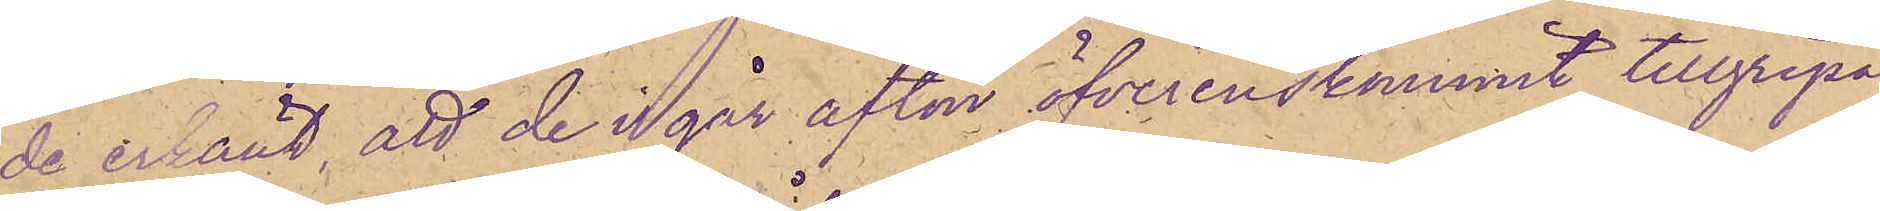de erkänt, att de i går afton öfverenskommit tillgripa
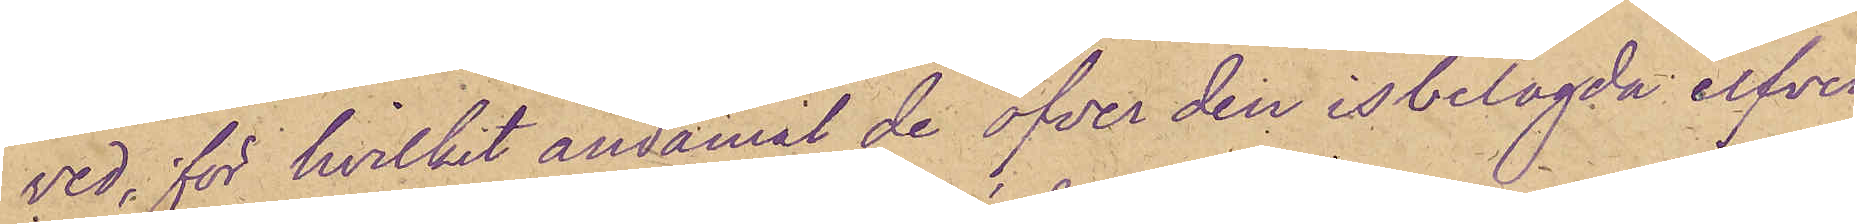ved, för hvilket ändamål de öfver den isbelagda elfven
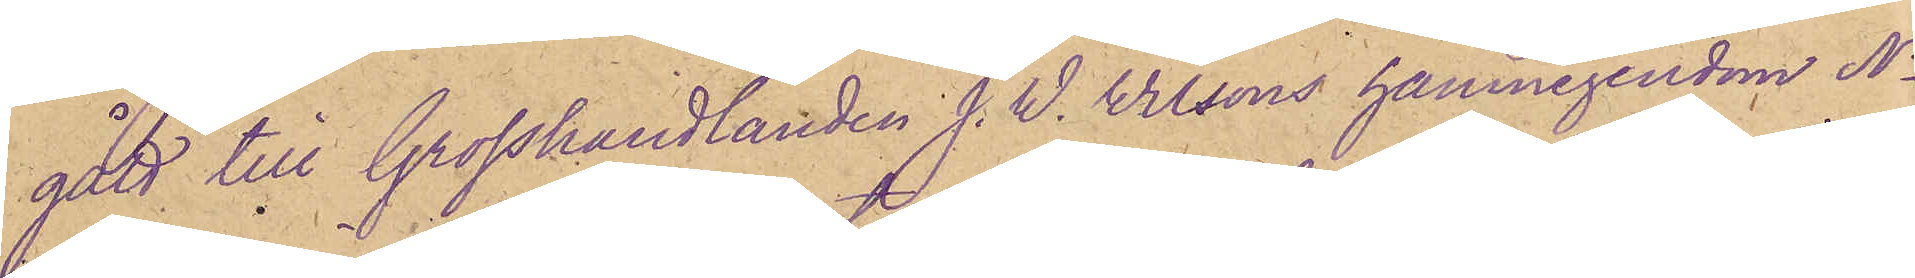gått till Grosshandlanden J. W. Wilsons hamnegendom No
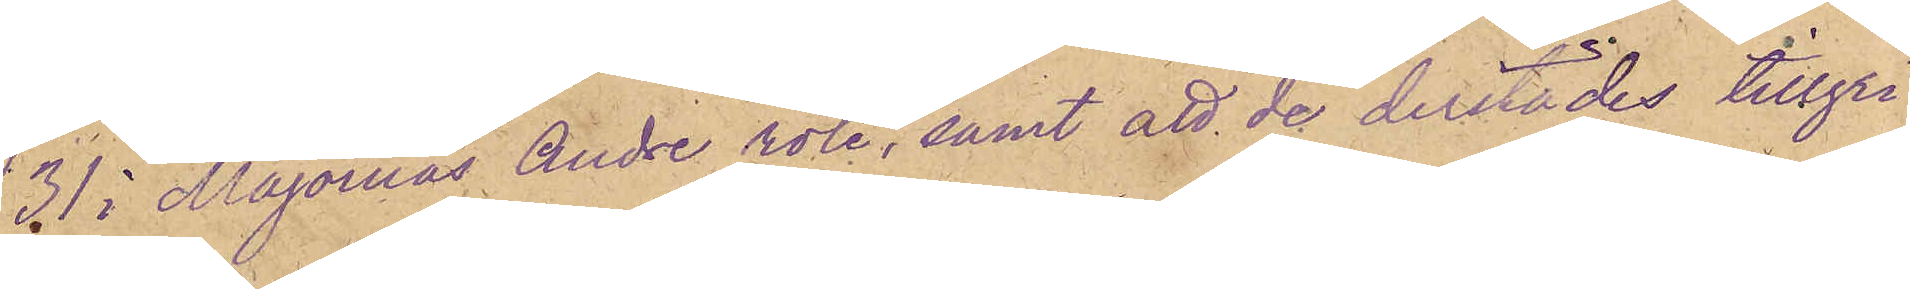31 i Majornas Andre rote, samt att de derstädes tillgri¬
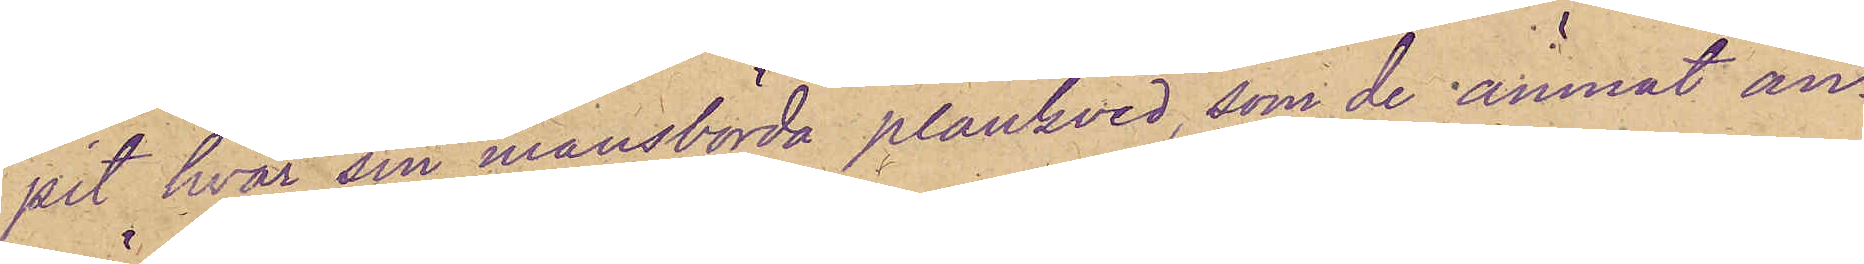pit hvar sin mansbörda plankved, som de ämnat an¬
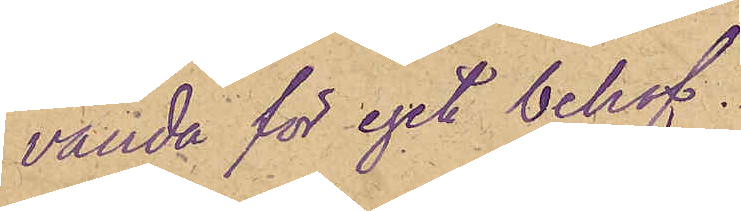vända för eget behof.
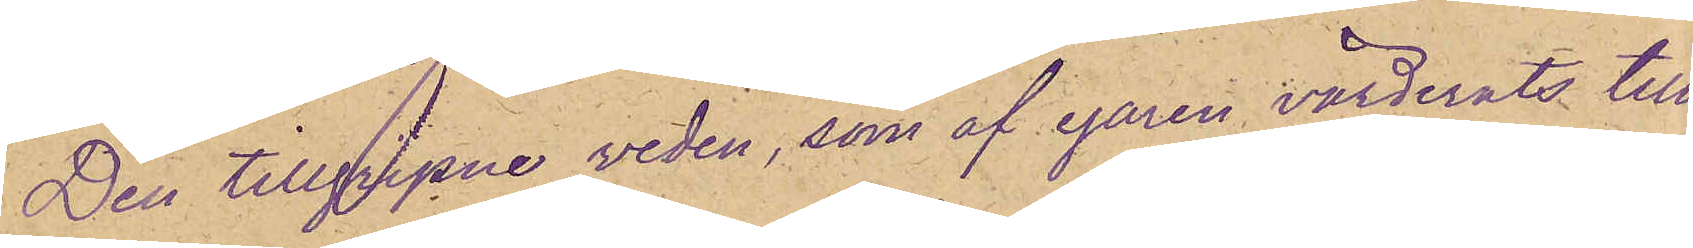Den tillgripne veden, som af egaren värderats till
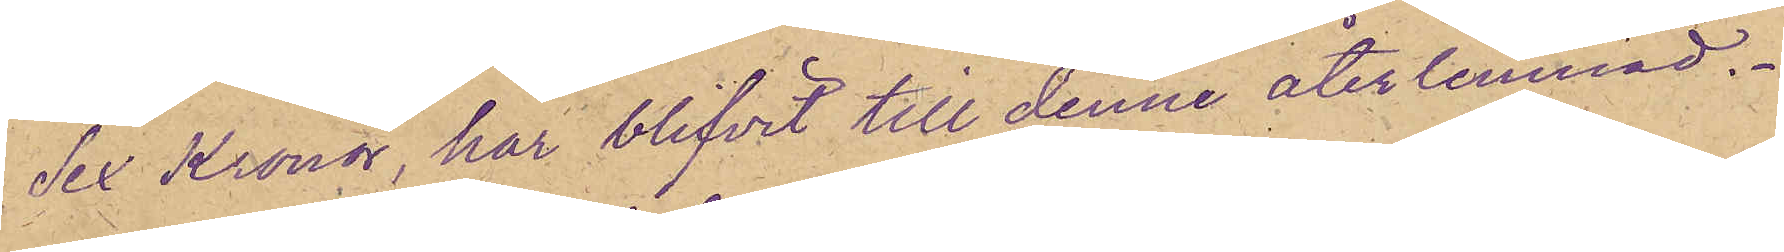Sex Kronor, har blifvit till denne återlemnad.
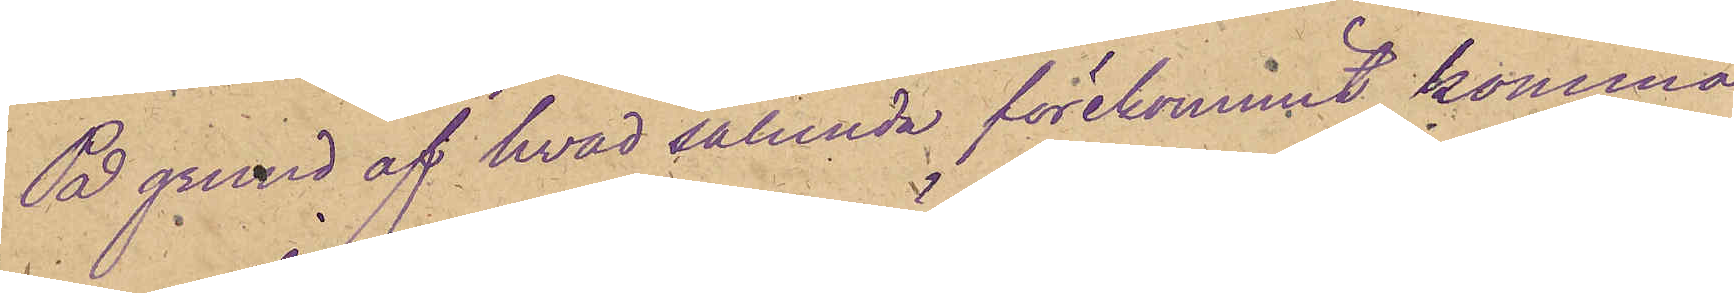På grund af hvad såunda förekommit, komma
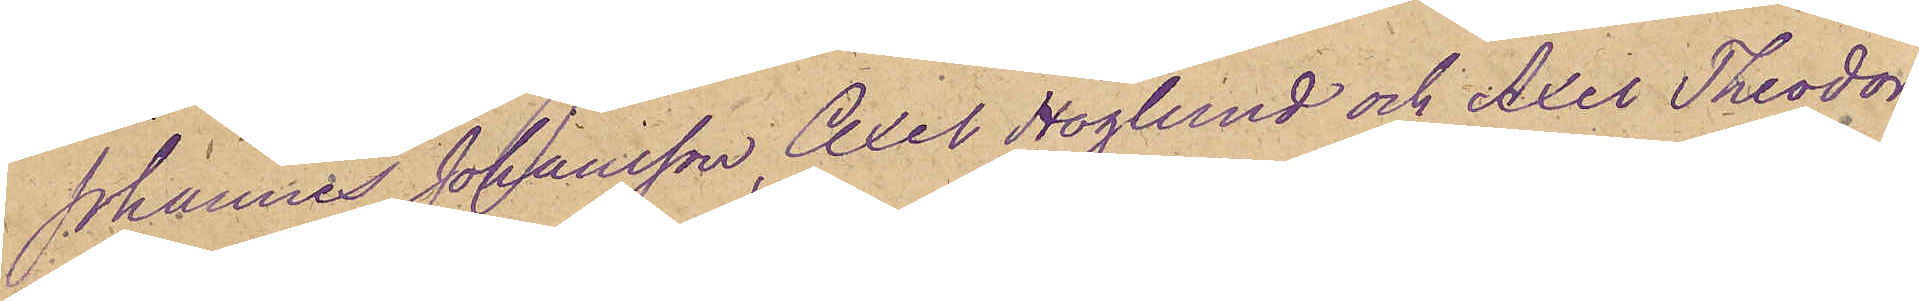Johannes Johansson, Axel Höglund och Axel Theodor
